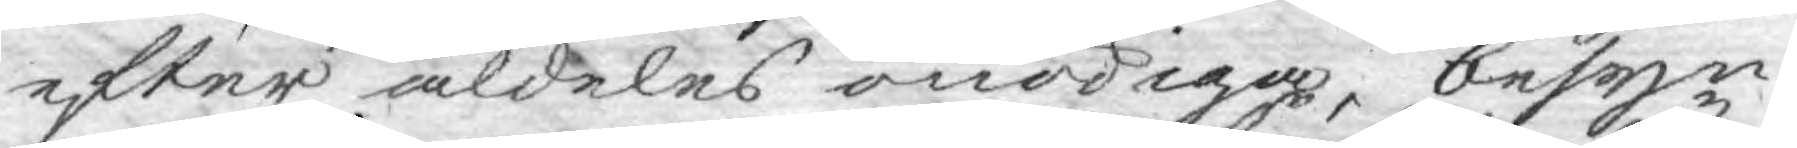efter aldeles onödiga, besyn¬
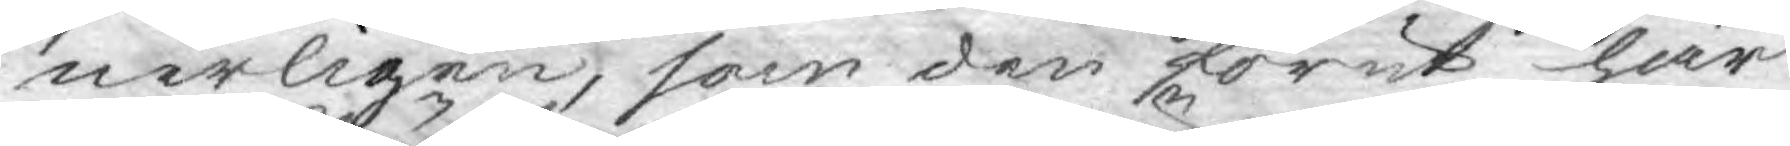nerligen, som den förut här
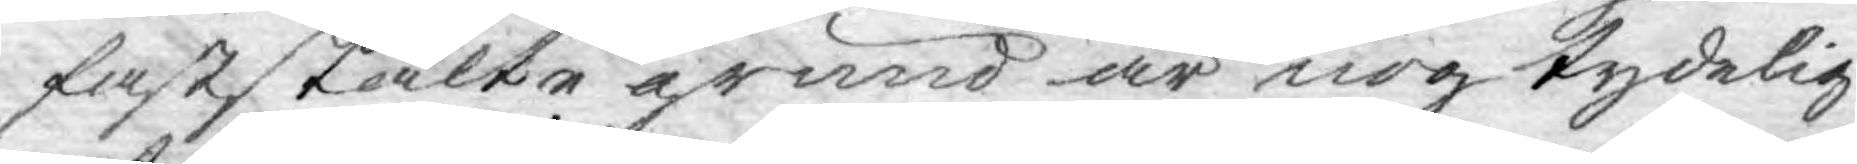faststälte grund är nog tydelig
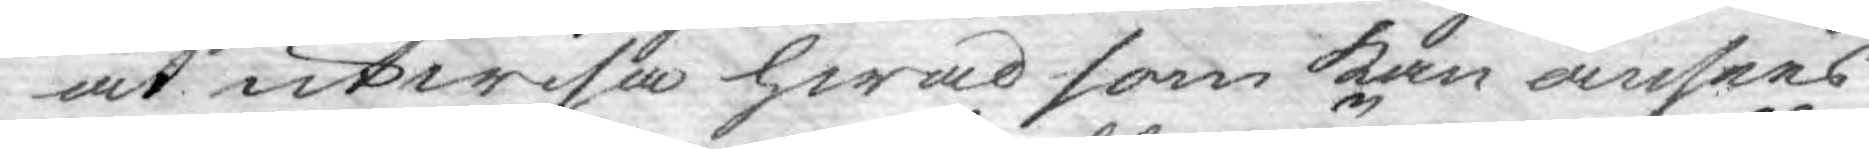at utwisa hwad som kan ansees
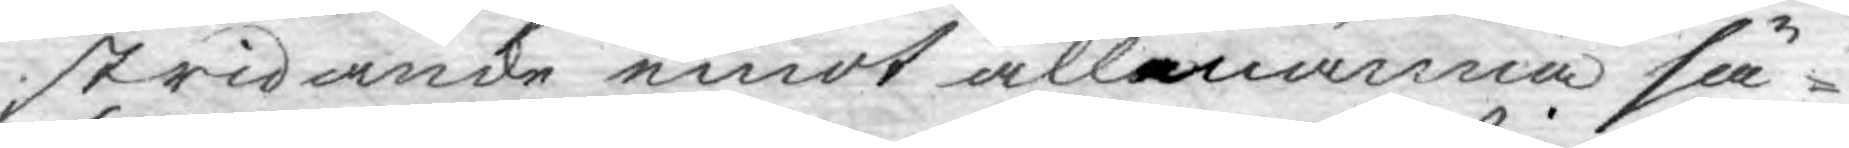stridande emot allmänna sä¬
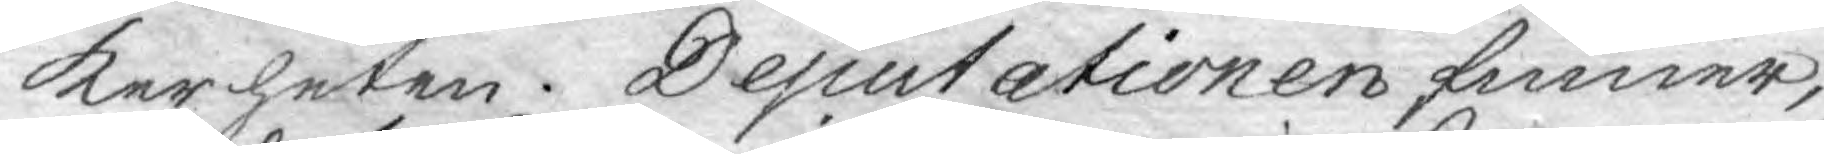kerheten. Deputationen finner,
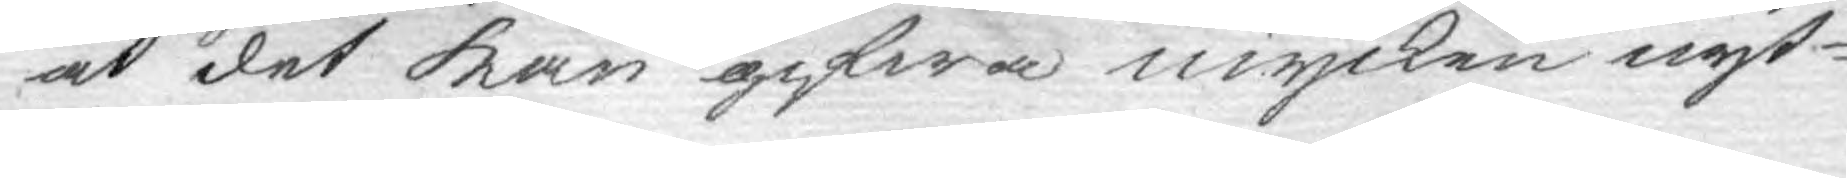at det kan gifwa mycken nyt¬
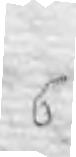6.
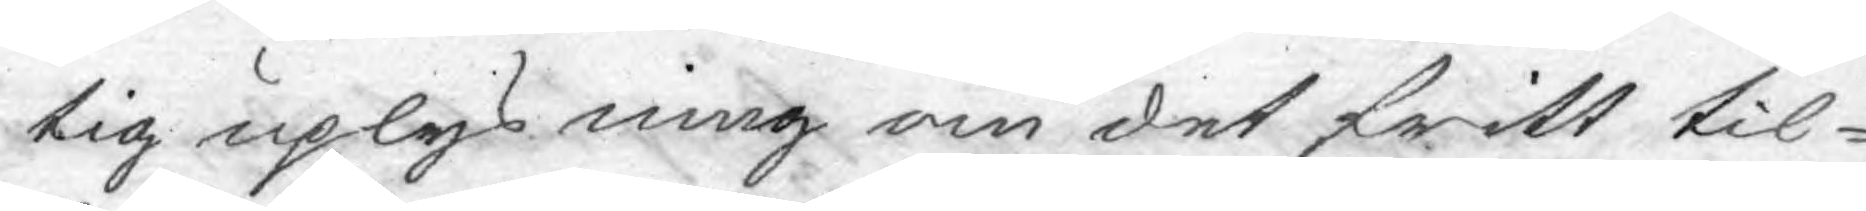tig uplysning om det fritt til¬
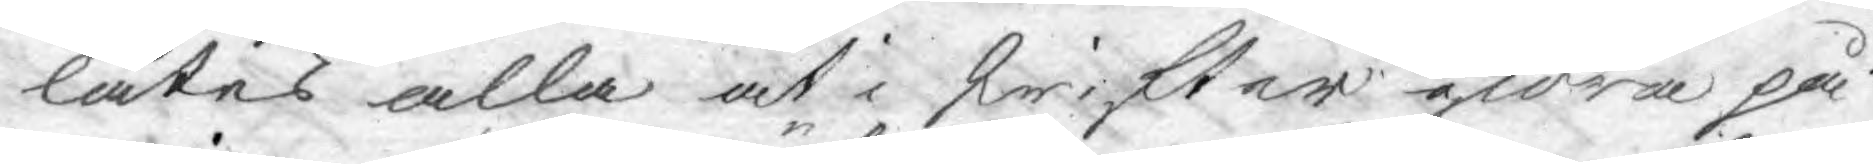låtes alla at i skrifter giöra på¬
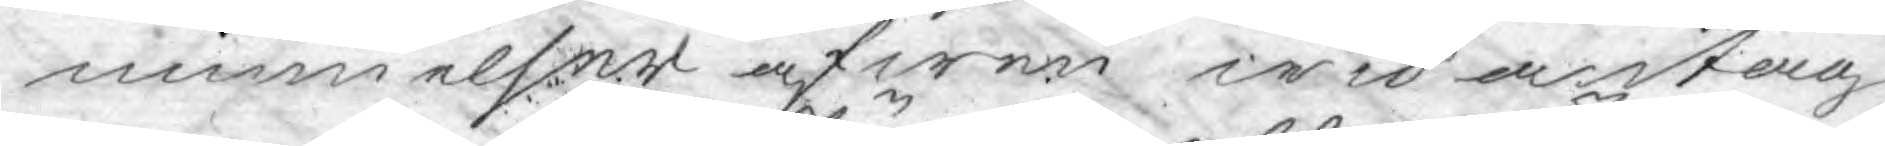minnelser äfwen wid antag¬
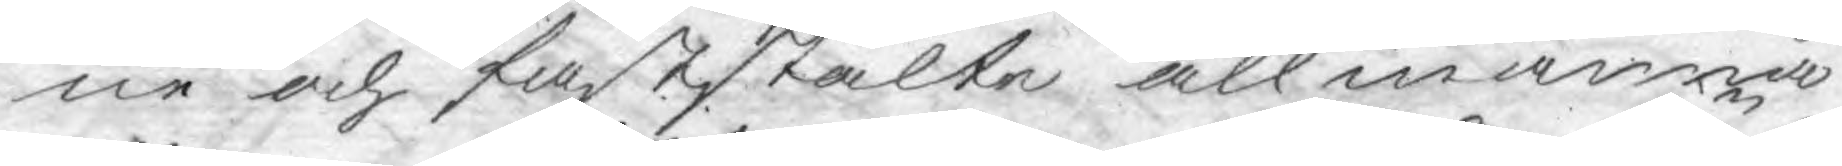ne och faststälte allmänna
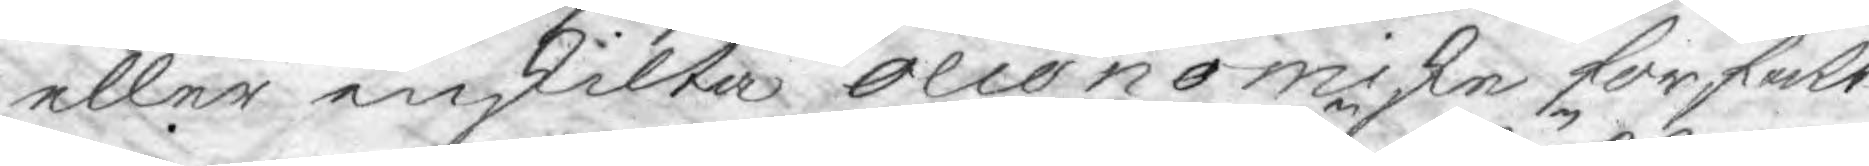eller enskilta oeconomiske författ¬
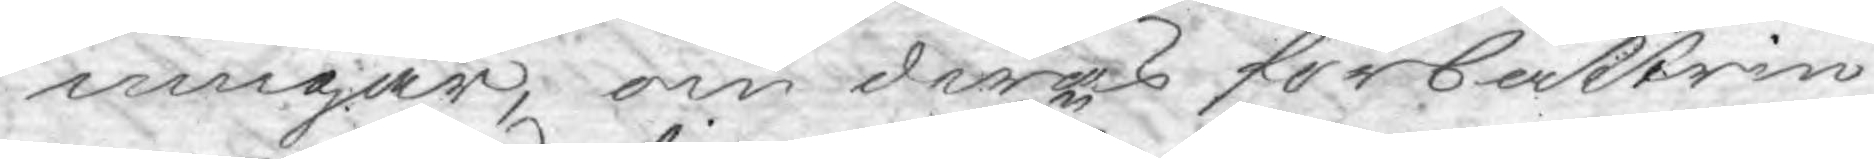ningar, om deras förbättrin¬
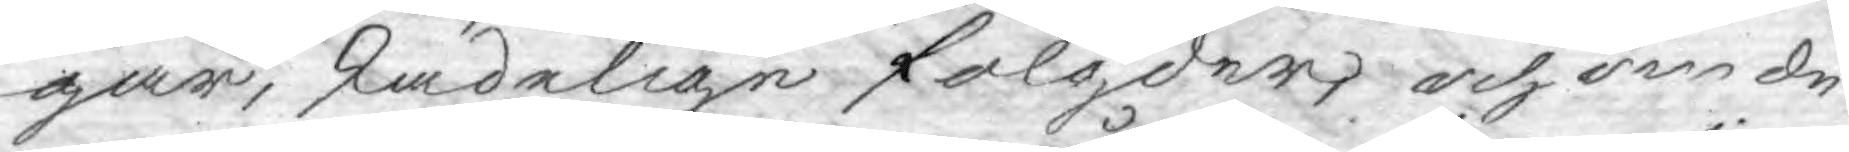gar, skadelige fölgder, och om de
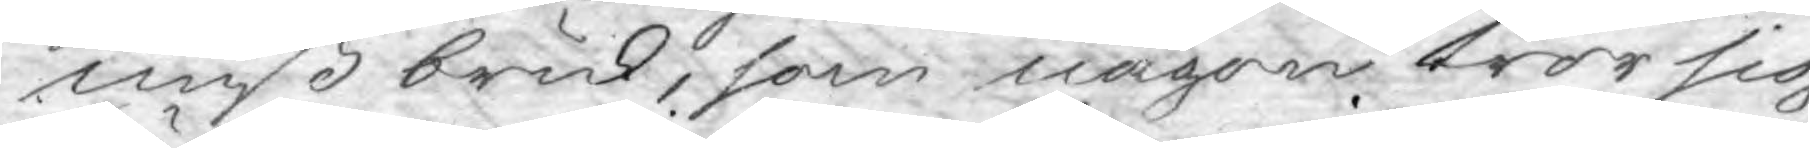mißbruk, som någon tror sig
